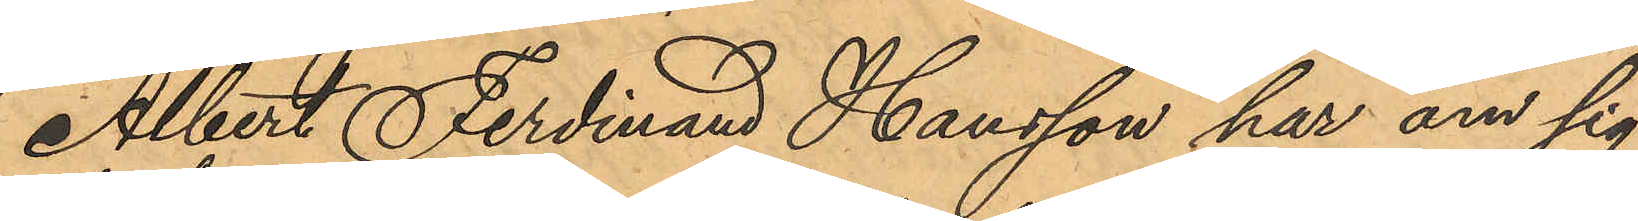Albert Ferdinand Hansson har om sig
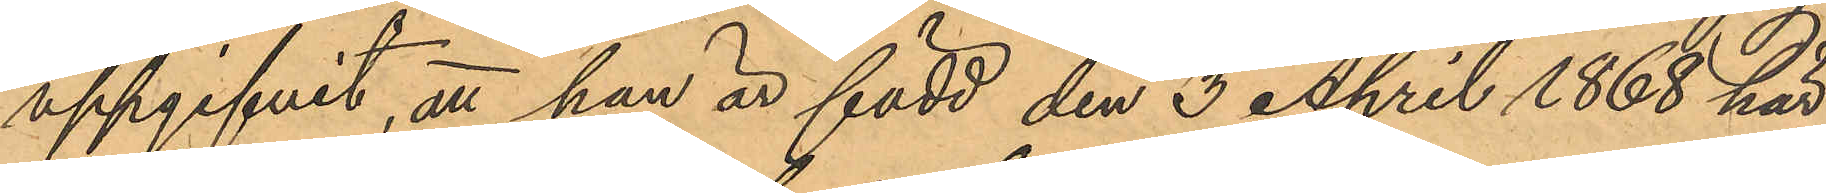uppgifvit, att han är född den 3 April 1868 här
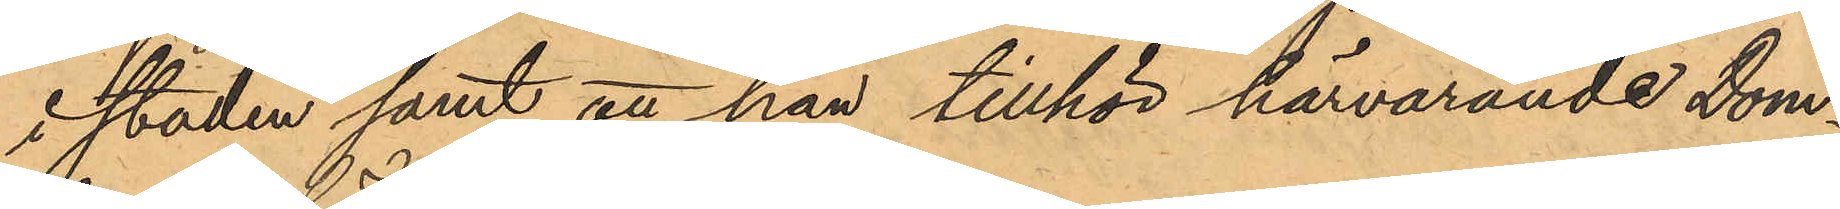i staden samt att han tillhör härvarande dom¬
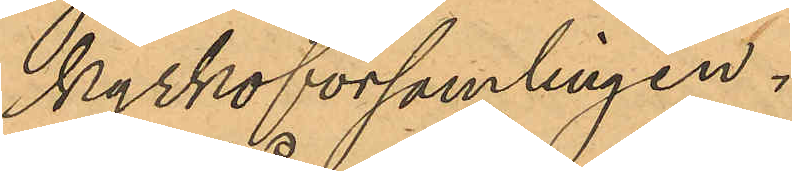kyrkoförsamlingen.
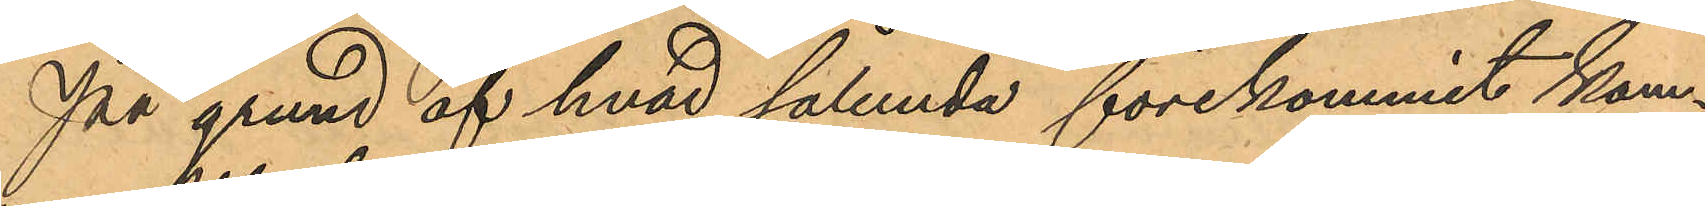På grund af hvad sålunda förekommit kom¬
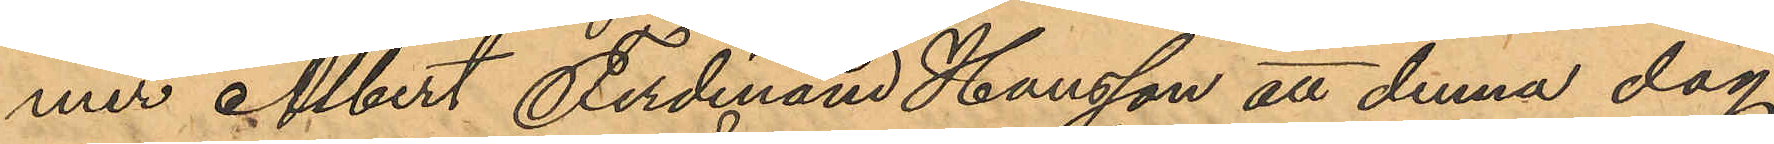mer Albert Ferdinand Hansson att denna dag
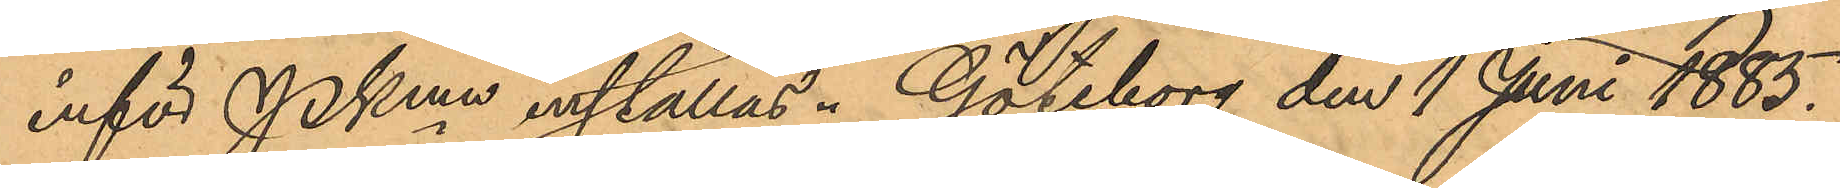inför PKmn inställas. Göteborg den 1 Juni 1885.
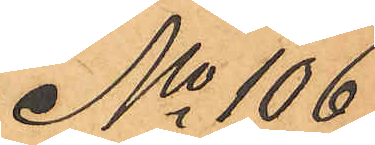No 106
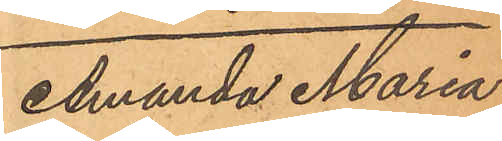Amanda Maria
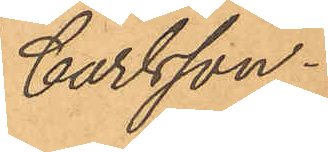Carlsson.
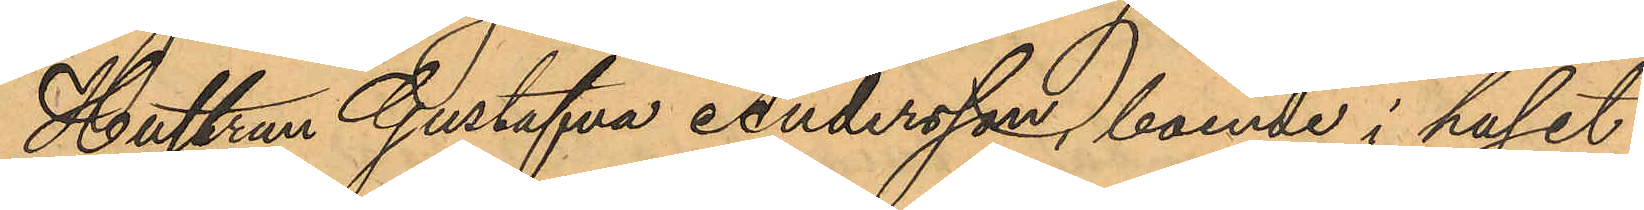Hustrun Gustafva Andersson, boende i huset
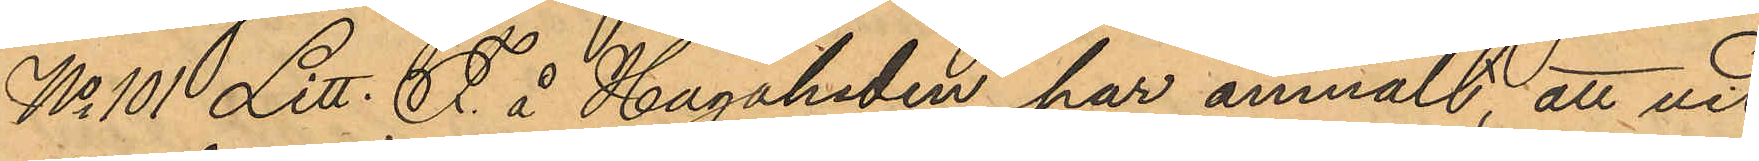No 101 Litt. F. å Hagaheden har anmält, att vid
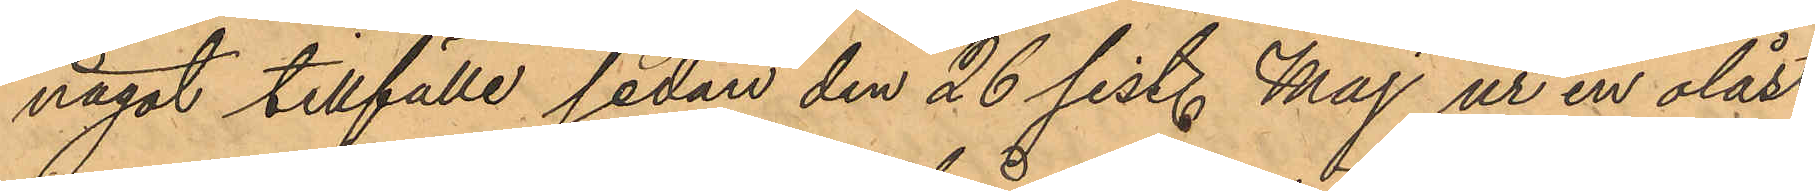något tillfälle sedan den 26 sist. Maj ur en olåst
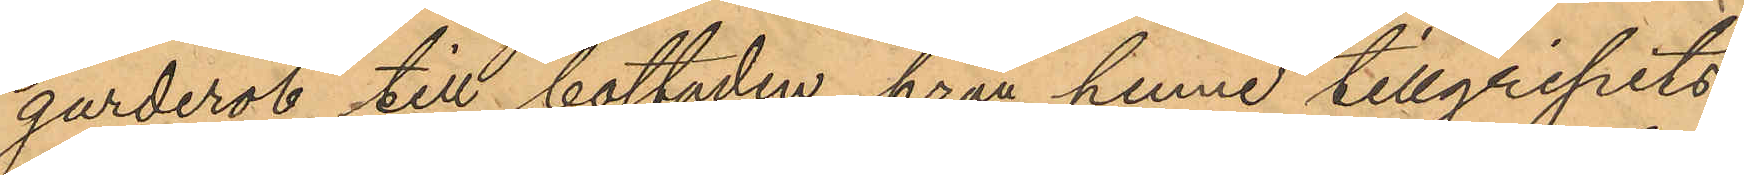garderob till bostaden, från henne tillgripits
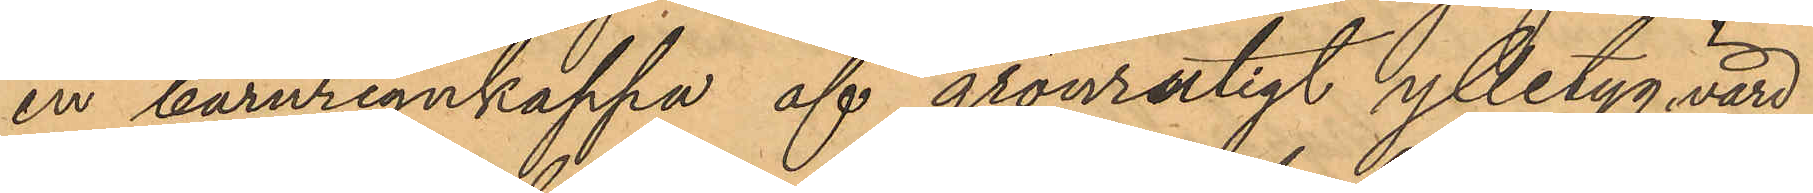en barnregnkappa af grönrutigt ylletyg, värd
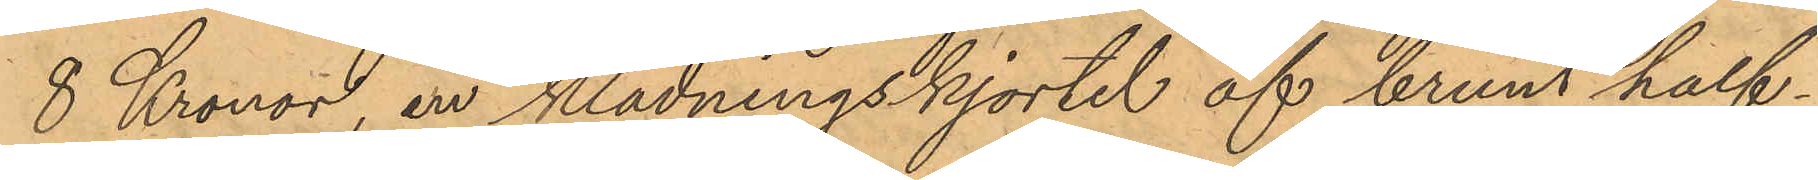8 Kronor, en klädningskjortel af brunt half¬
